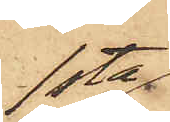1sta
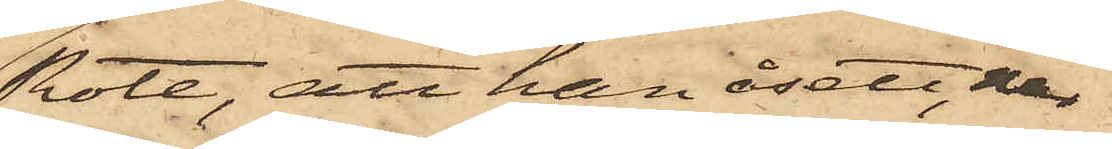Rote, att han åsett, när
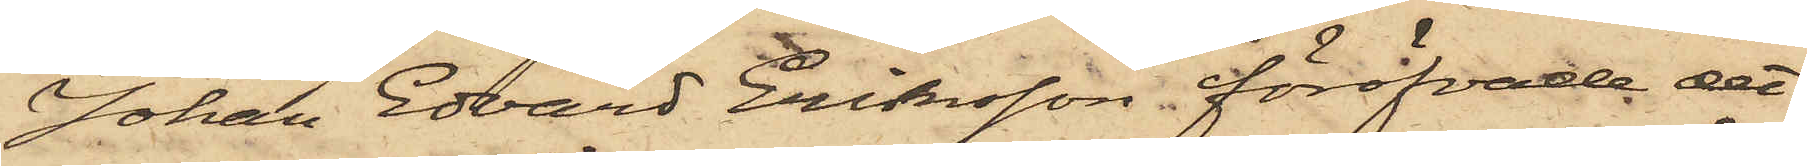Johan Edvard Eriksson föröfvade det
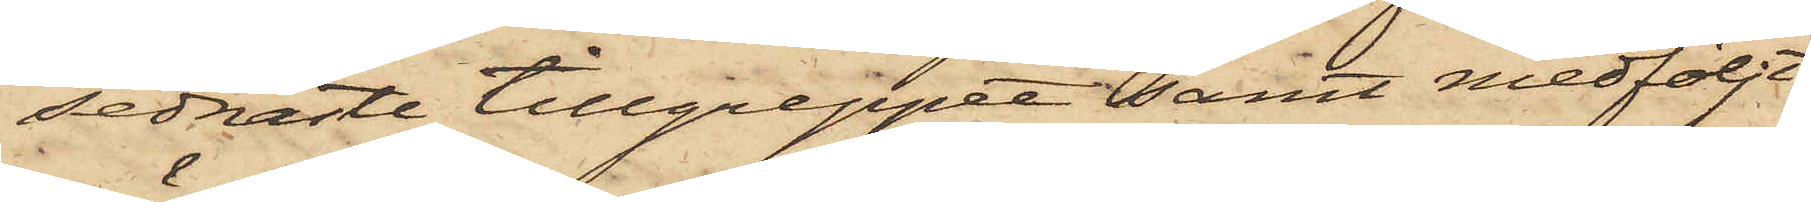sednaste tillgreppet samt medföljt
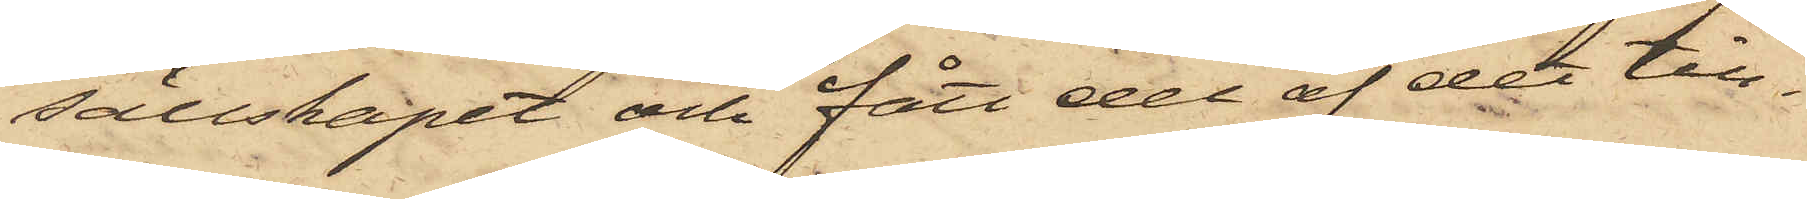sällskapet och fått del af det till¬
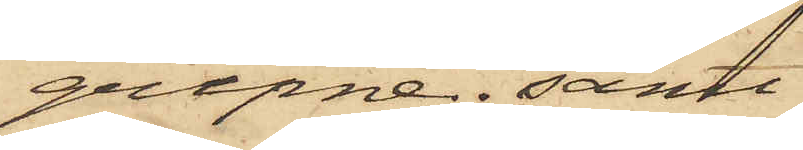gripne; samt
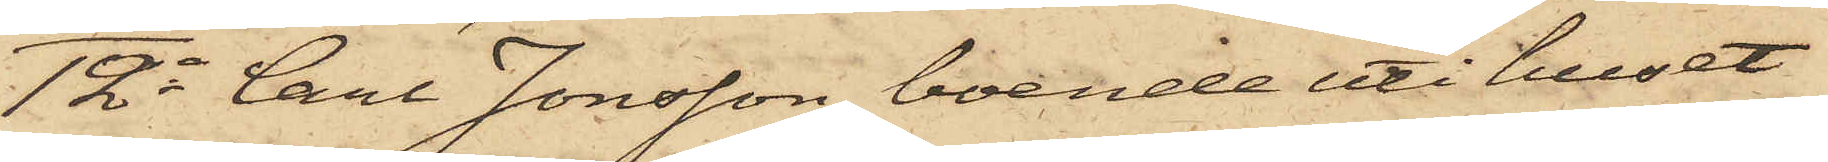12o Carl Jonsson, boende uti huset
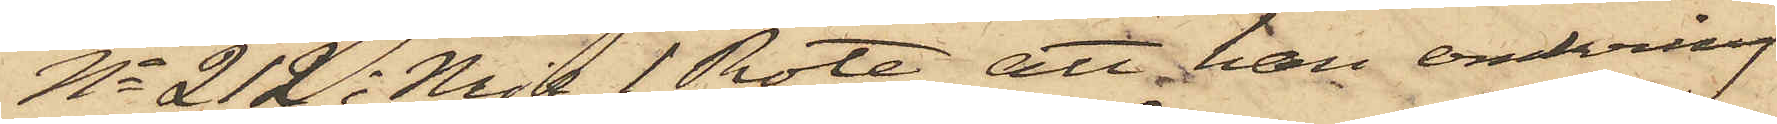No 212 i Mjs 1 Rote, att han omkring
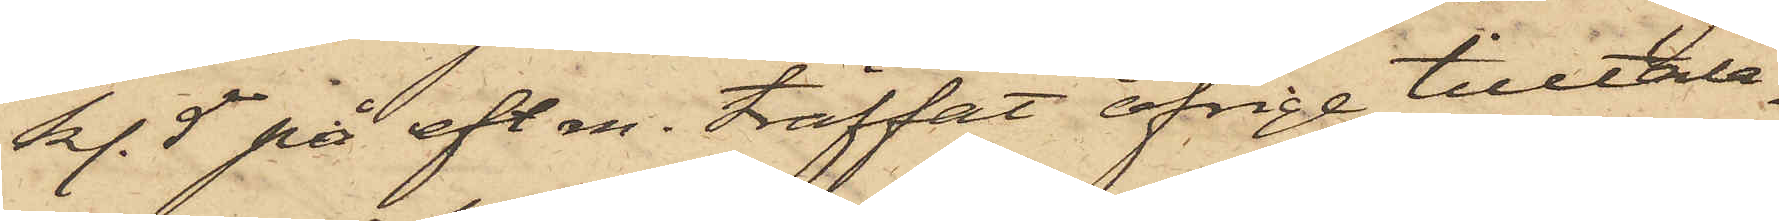kl. 5 på eft. m. träffat öfrige tilltala¬
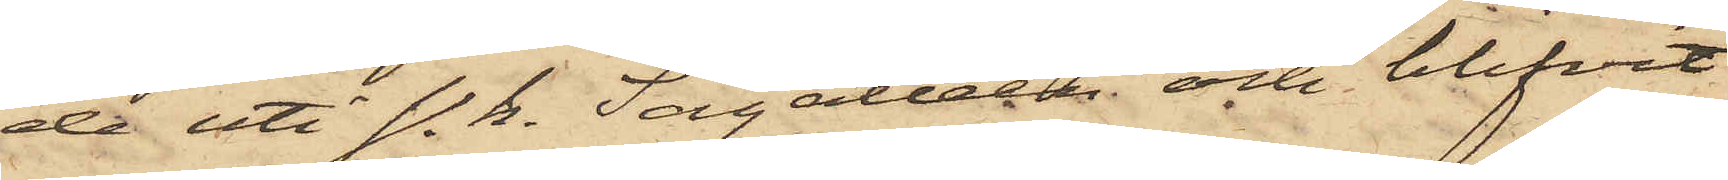de uti s. k. Sågalléen och blifvit
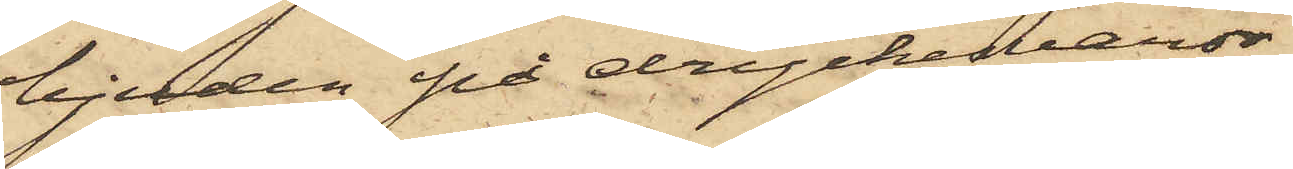bjuden på dryckesvaror,
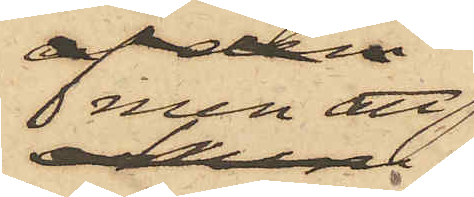men att
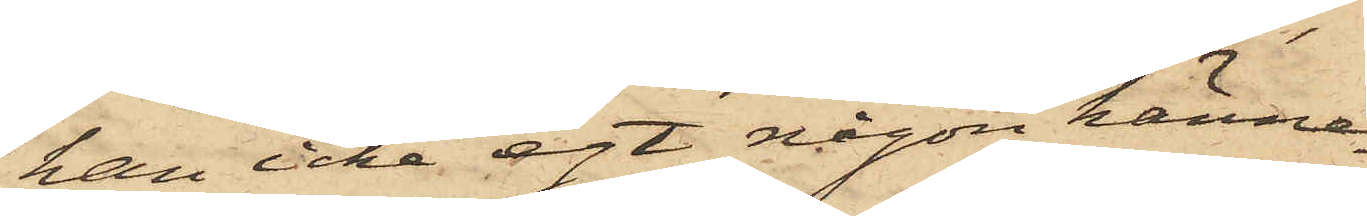han icke egt någon känne¬
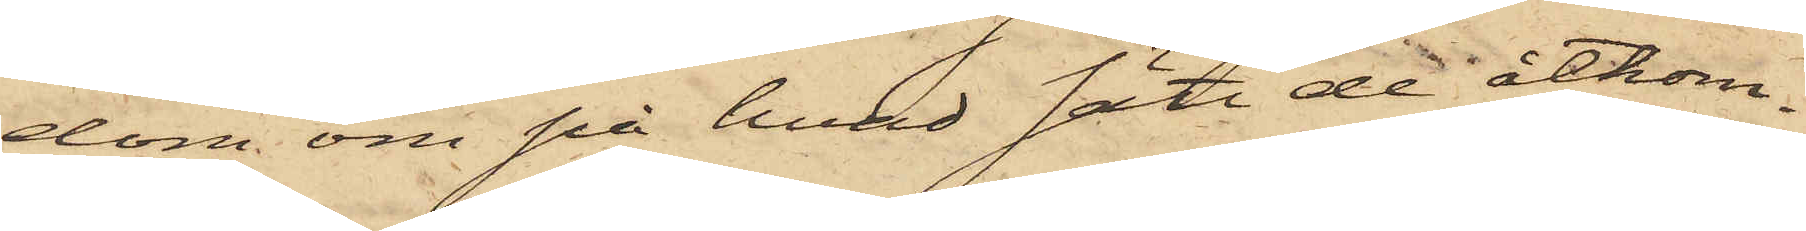dom om på hvad sätt de åtkom¬
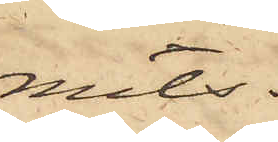mits.
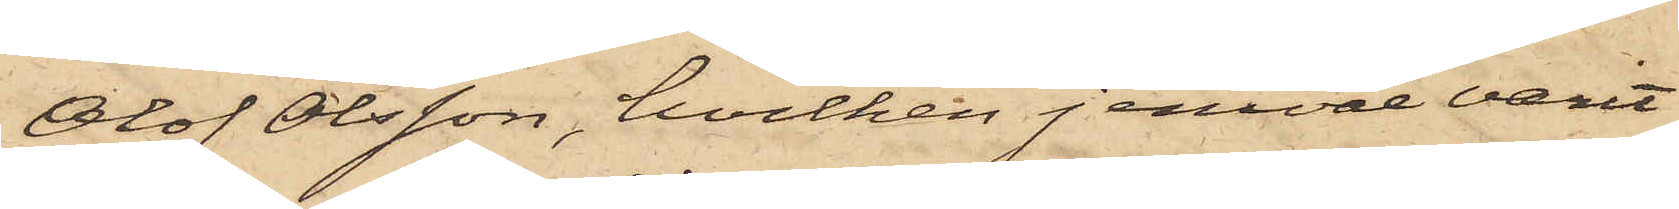Olof Olsson, hvilken jemväl varit
